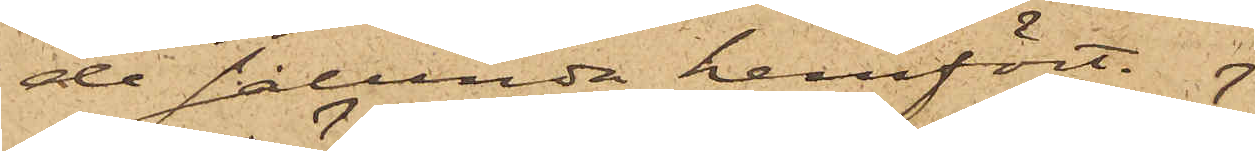de sålunda hemfört.
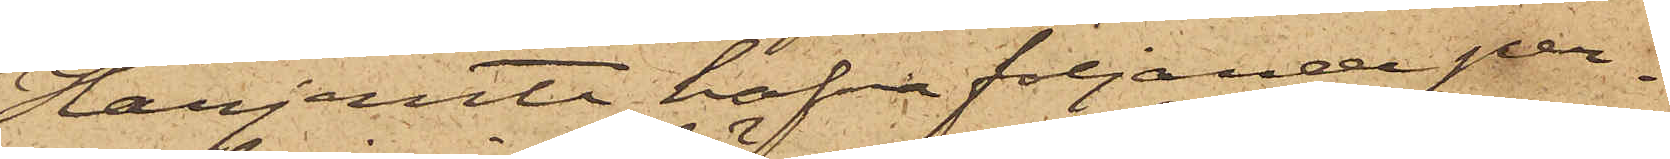Härjemte hafva följande per¬
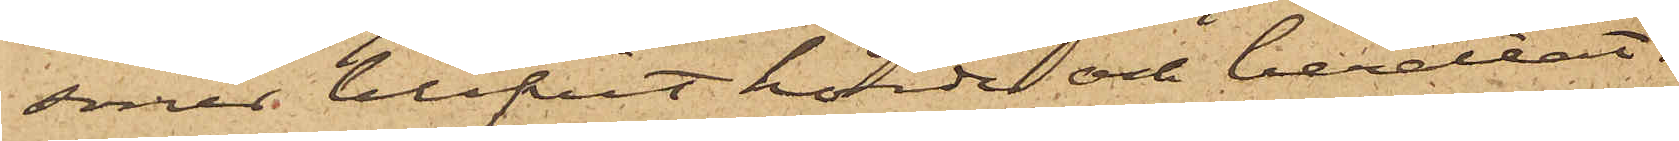soner blifvit hörde och berättat:
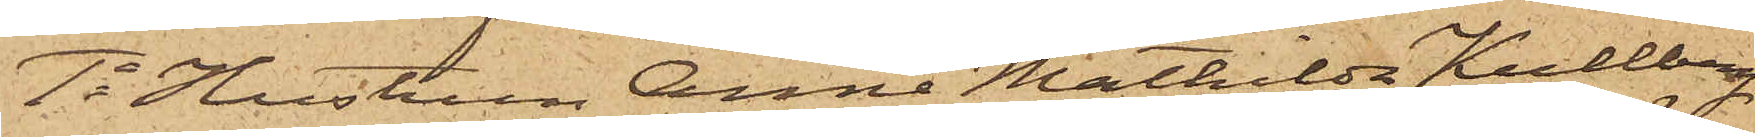1o Hustrun Anna Mathilda Kullberg
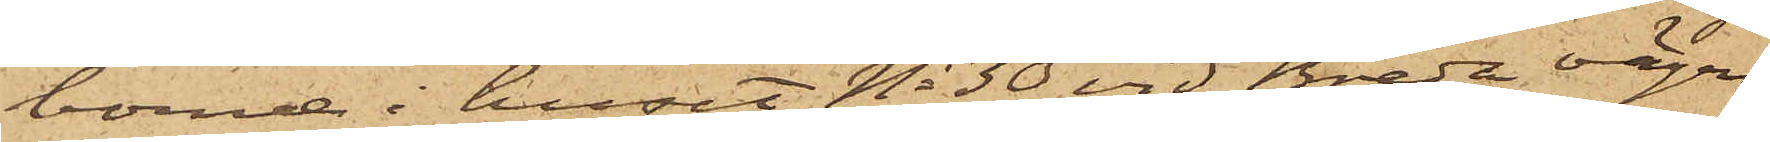boende i huset No 30 vid Breda vägen,
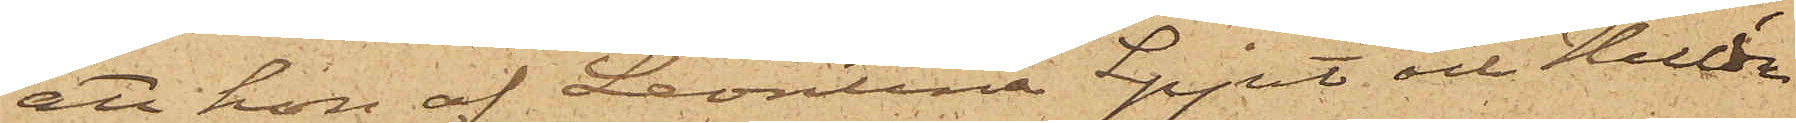att hon af Leontina Spjut och Hulda
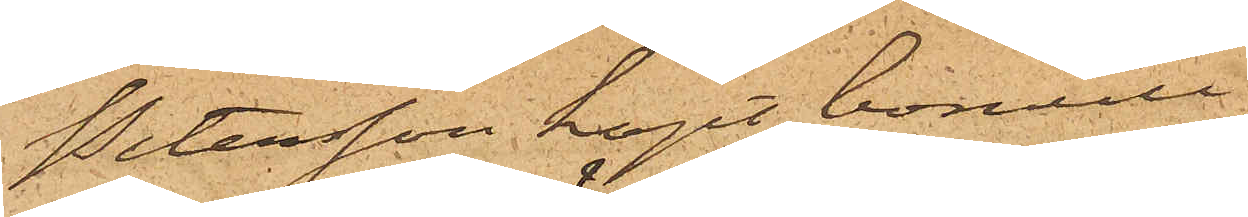Petersson köpt bomull
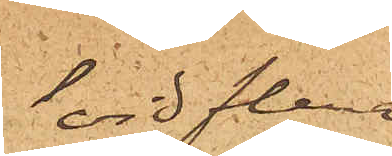vid flera
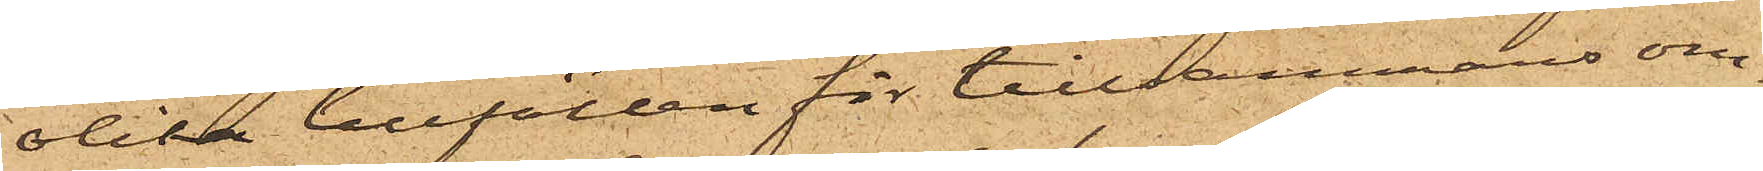olika tillfällen för tillsammans om¬
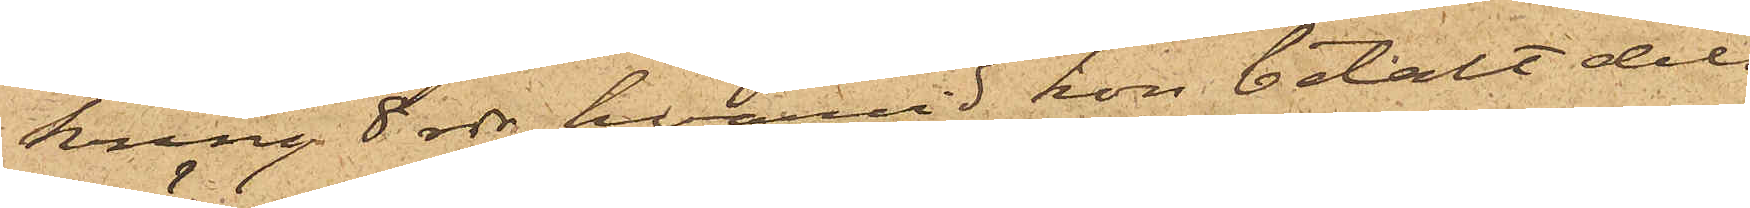kring 8 rdr, hvarvid hon betalt dels
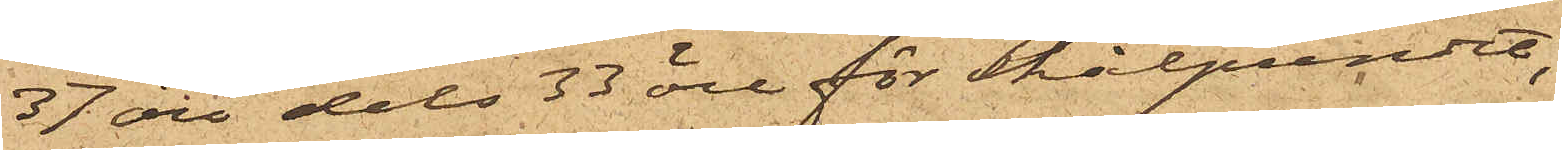37 öre dels 33 öre för skålpundet;
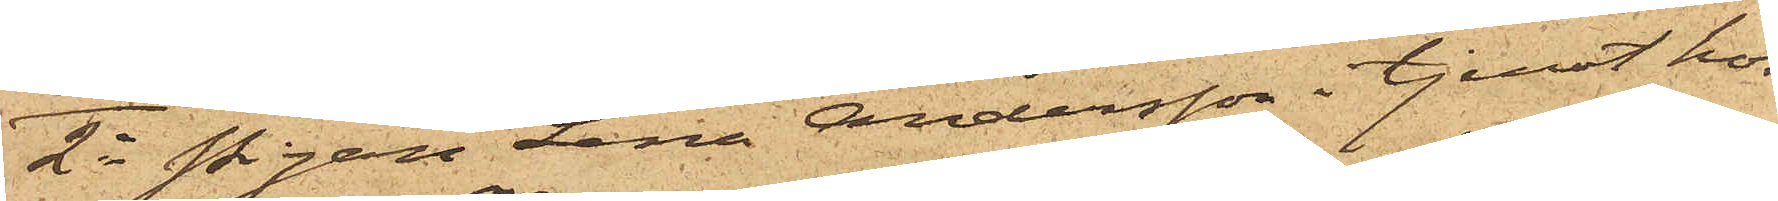2o Pigan Lena Andersson i tjenst hos
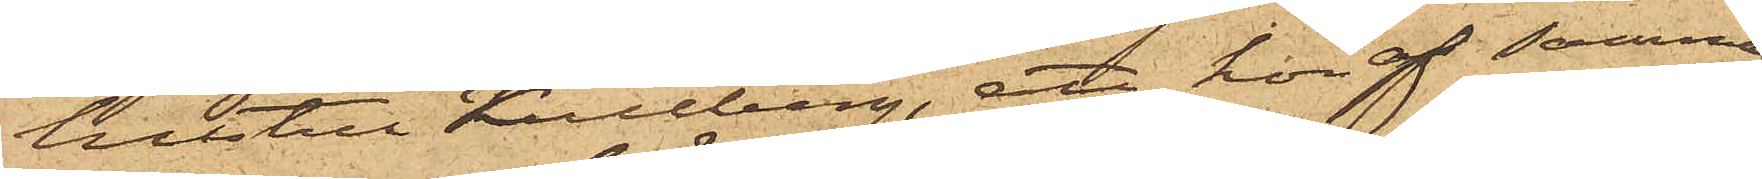hustru Kullberg, att hon af samma
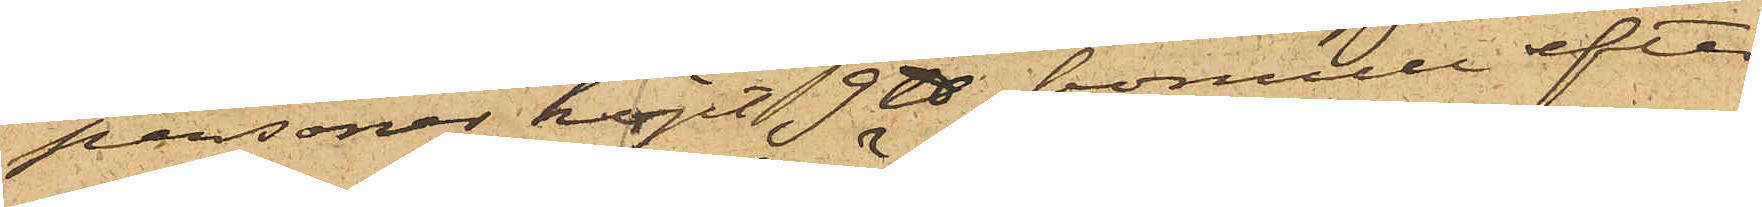personer köpt 9 ℔ bomull efter
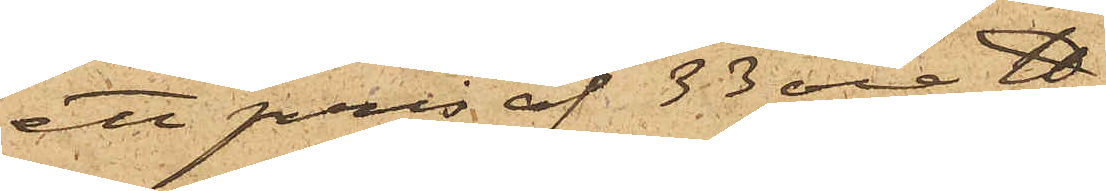ett pris af 33 öre ℔;
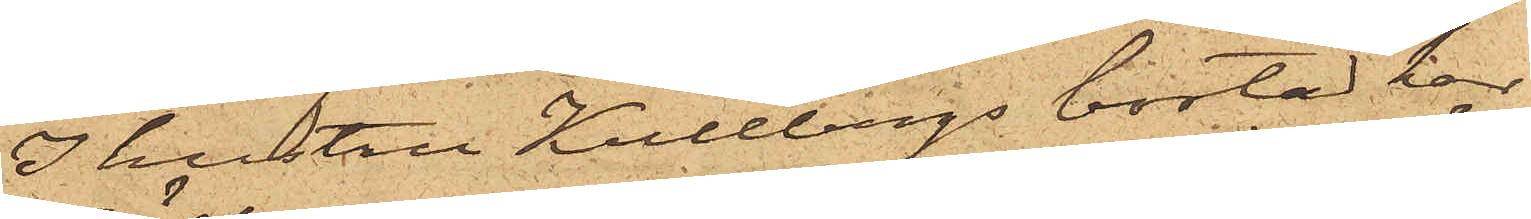I hustru Kullbergs bostad har
